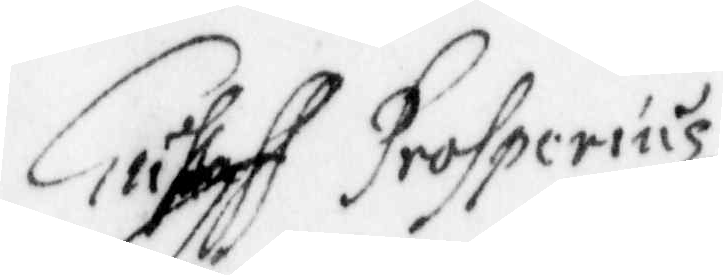Gustaff Prohperius
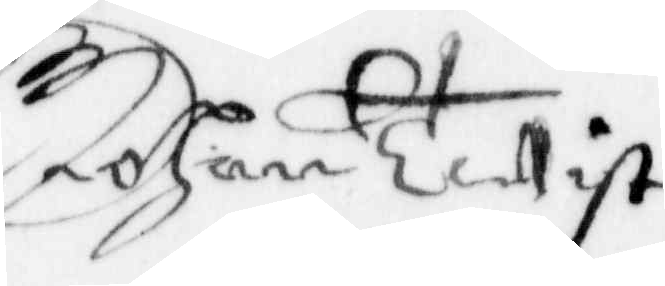Johan Tetist
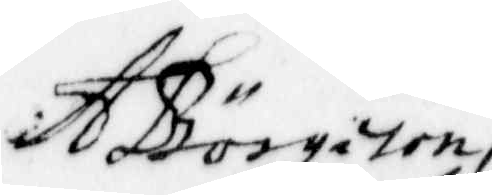A Börgeson
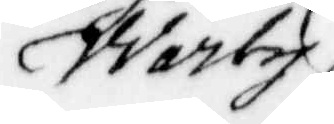Warby
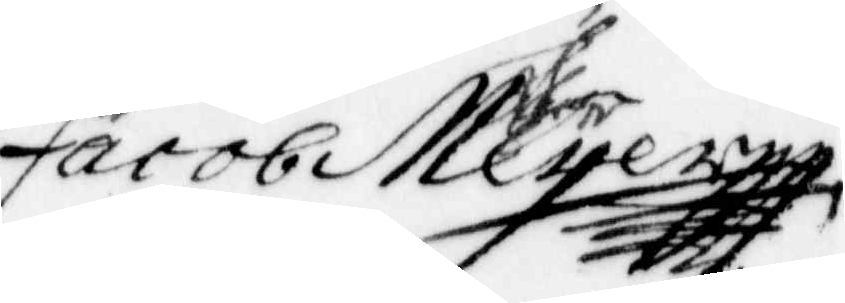Jacob Meyer
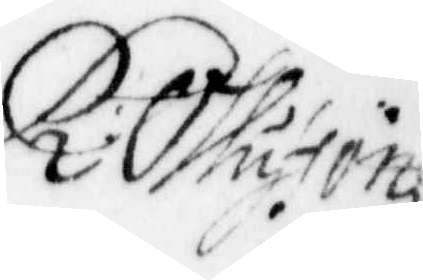R: Olufson
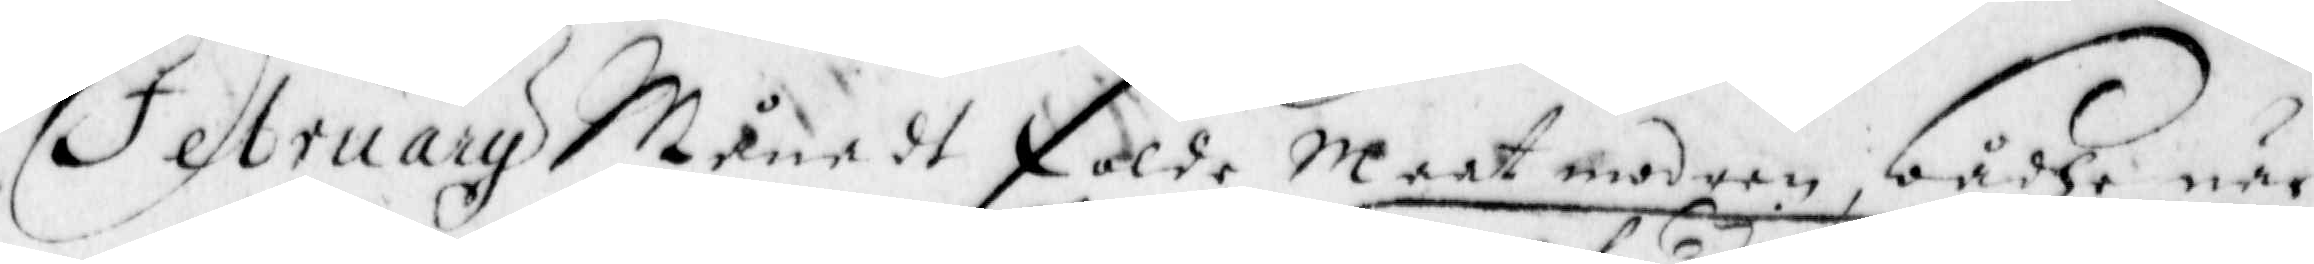Getraug Måne dt folde Maat modern, bådhe när
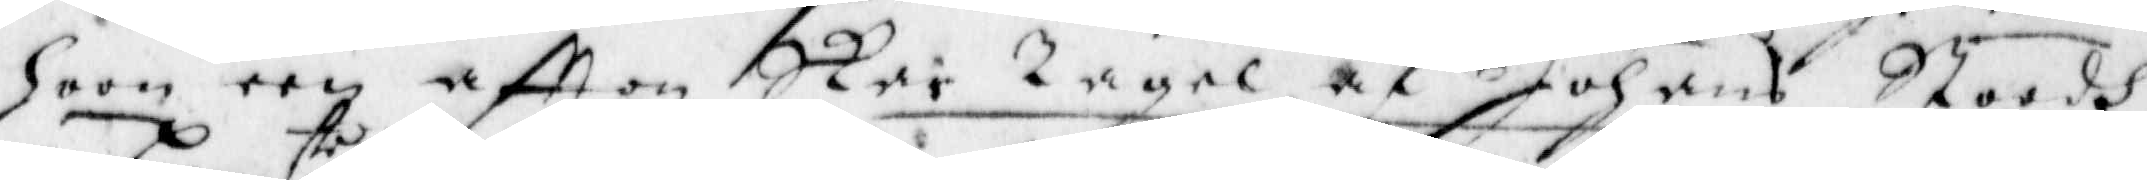hoon een aftton Skar Tagel af Johans Stoodh
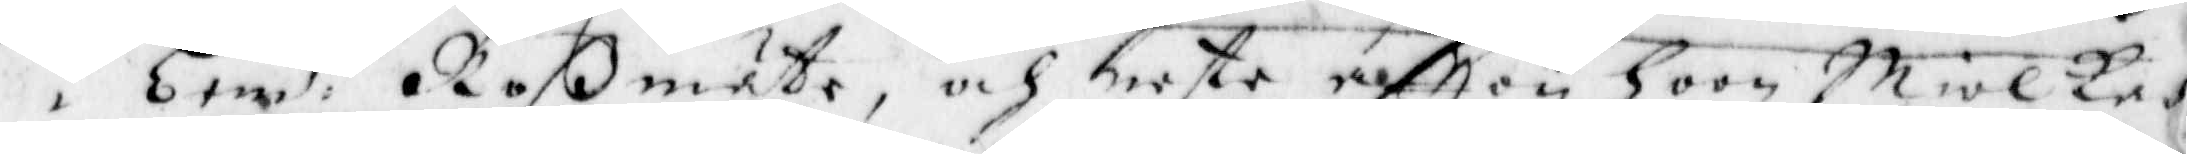i bem:te Roßmöte, och hieste efton hoon Miölket
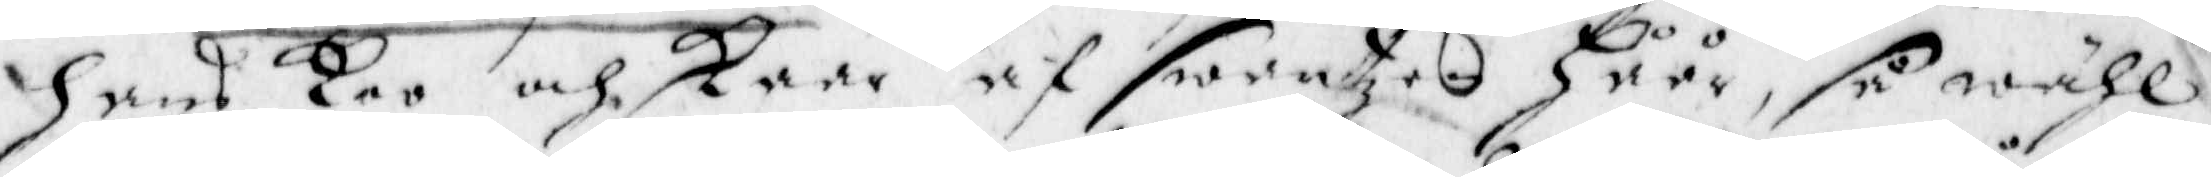hans Koo och skaar af swantzen Håår, så wähl
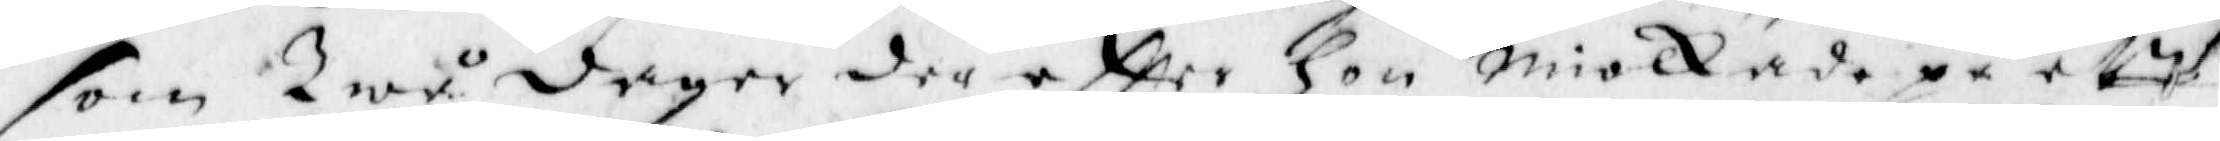som Twå dager der eftter hon miolkade på et
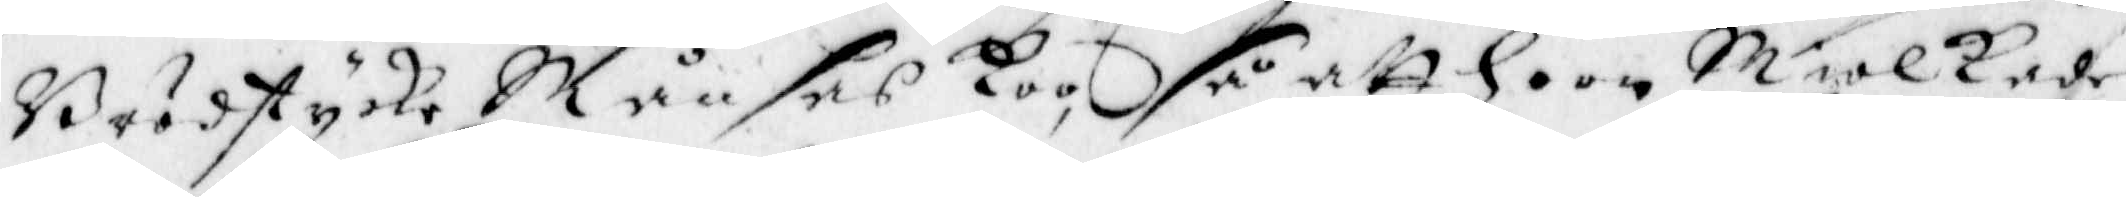brödstycke Månses Koo, så att hoon Miolkade
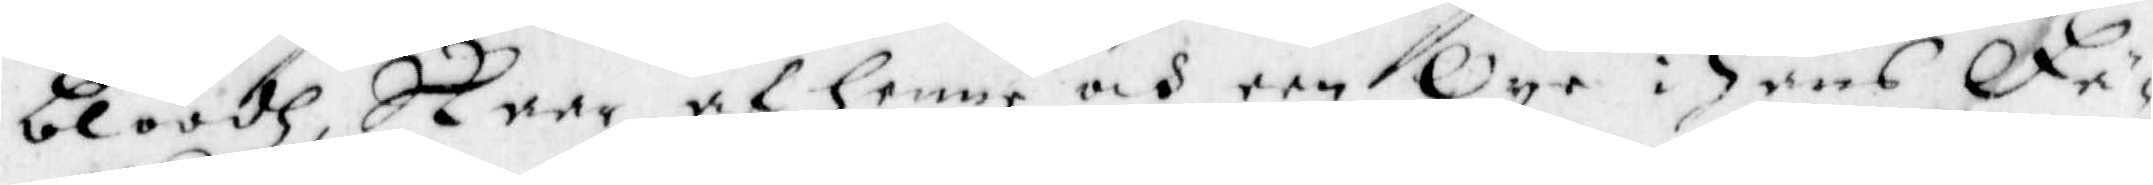bloodh Skaar af henne och een Oye i Hans Fä¬
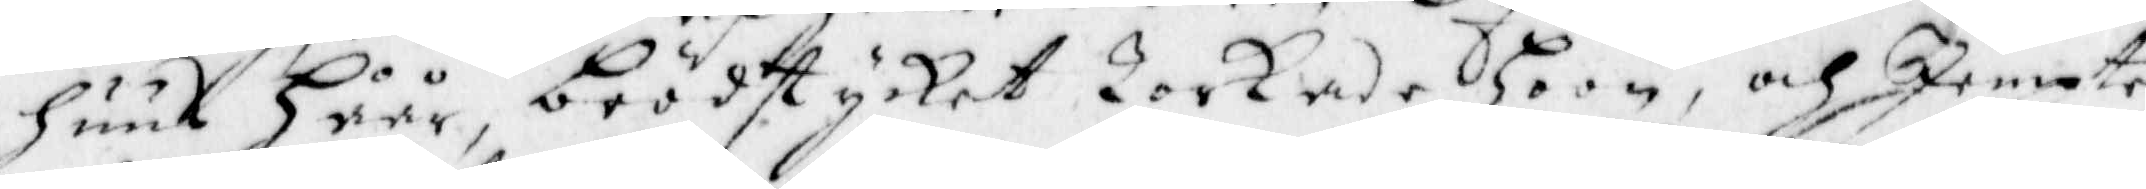huus Håår, brödstycket Torkade hoon, och Jempte
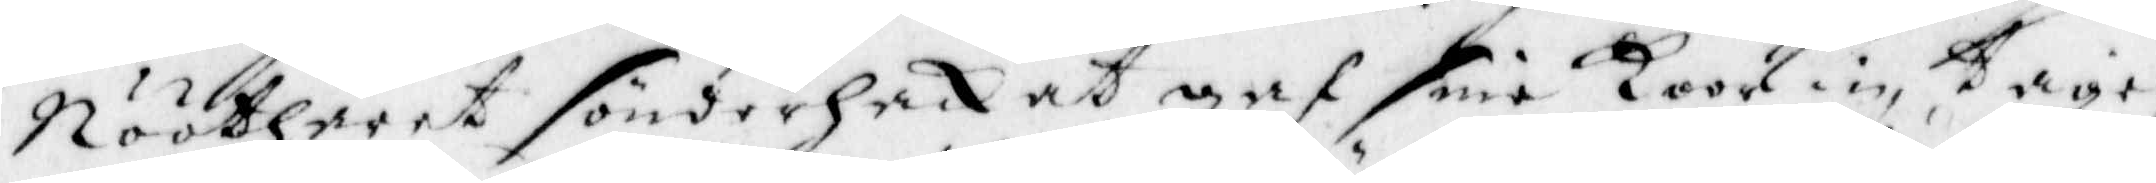Nööthåret sönderhackat gaf små Koor in, Tage¬
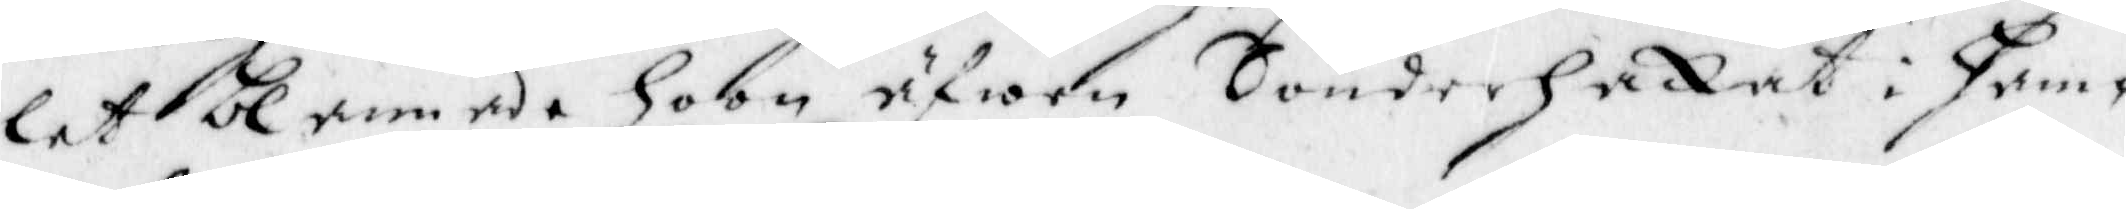let blanade hoon äfwen Sönderhackat i ham¬
